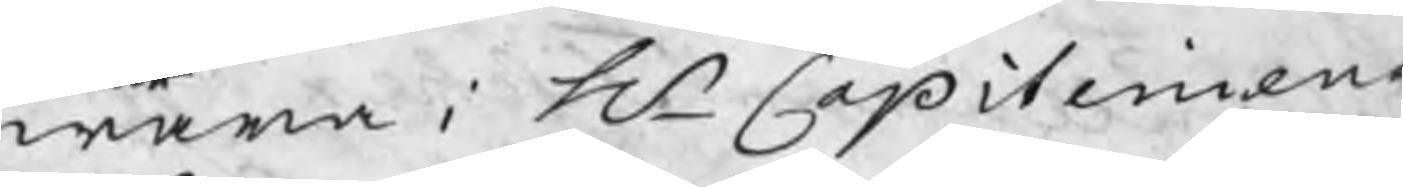wara i Hr Capiteinens
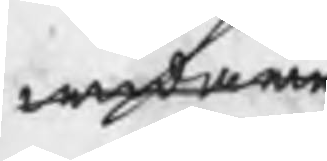widare
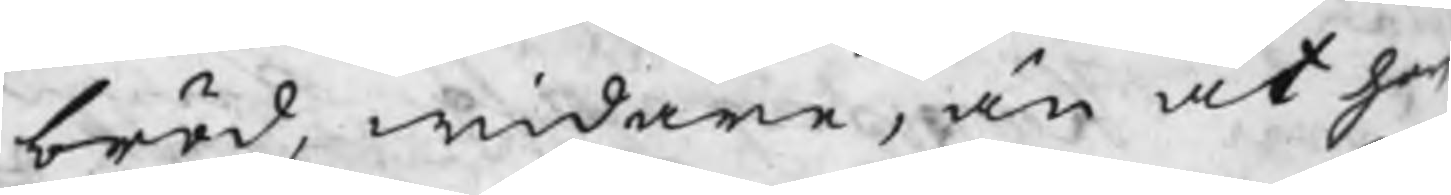bröd, widare, än at han
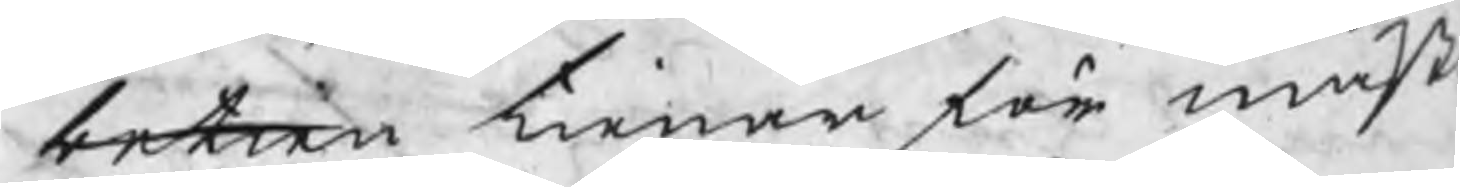betren tienar för mäst
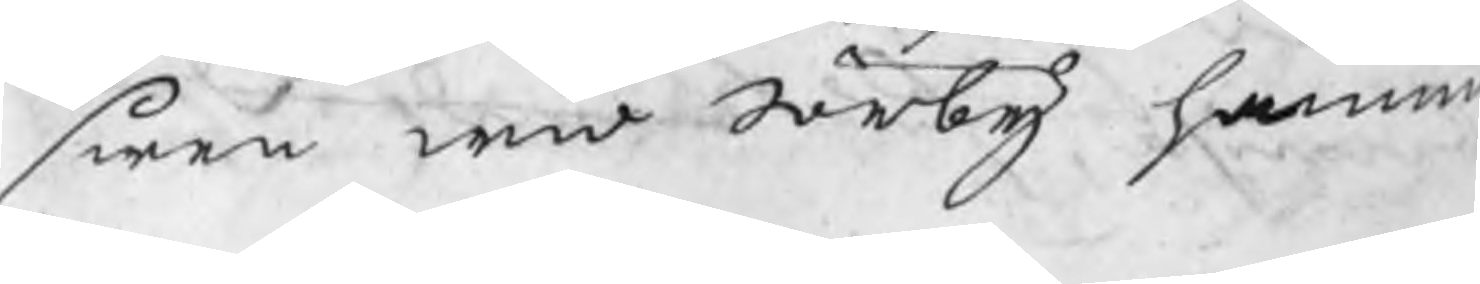swen wid Sörby hamm
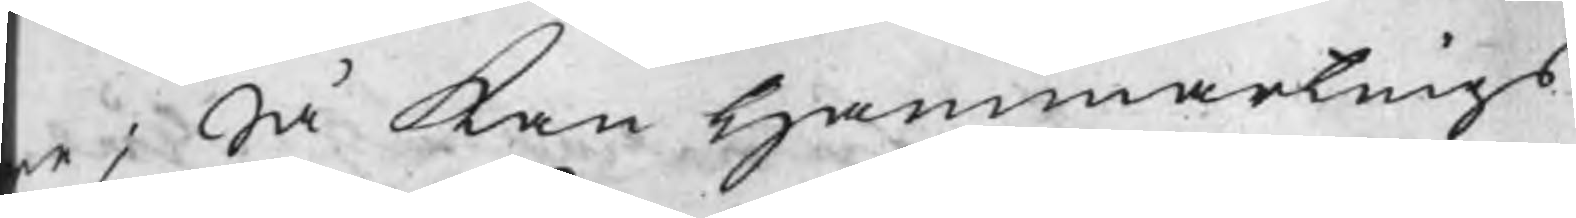re; Så kan Hammartings
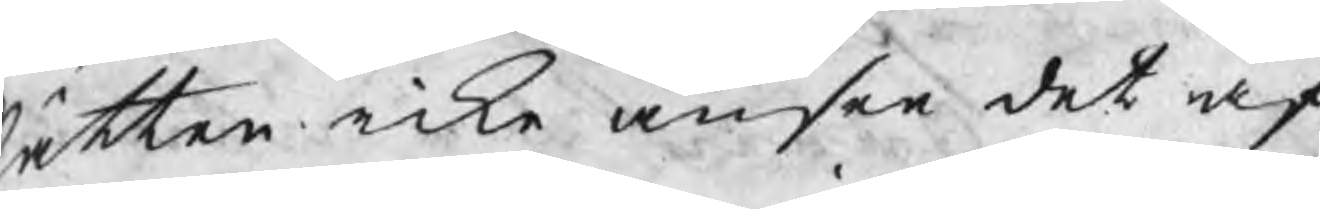ätten icke anse det af
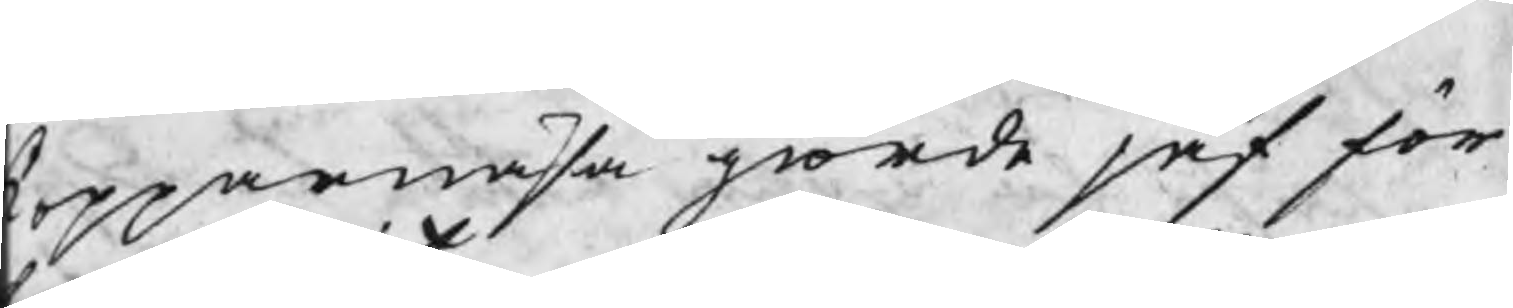Kopparnäsa giorde jäf för
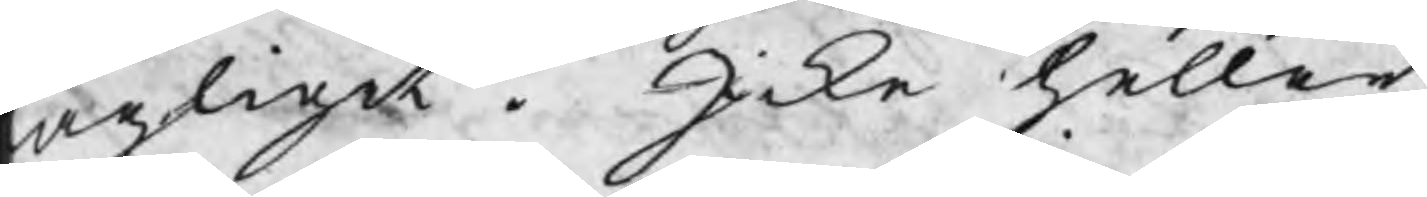lagilit. Icke heller
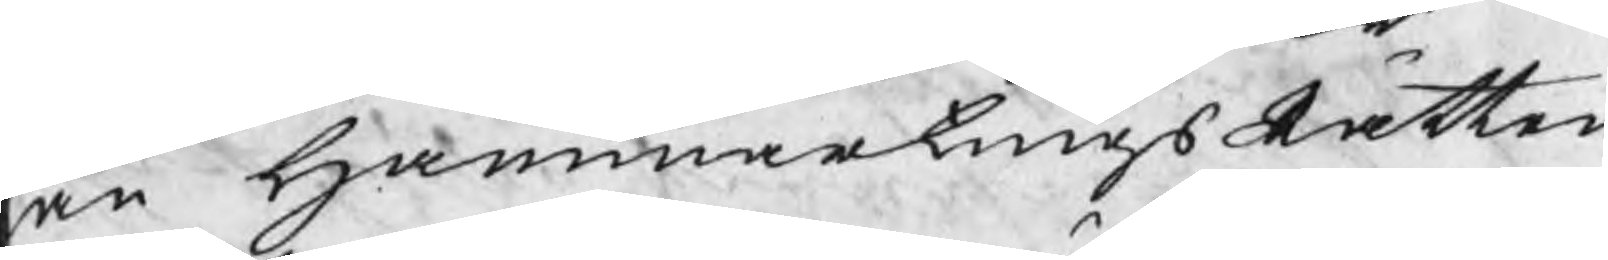an HammartingsRätten
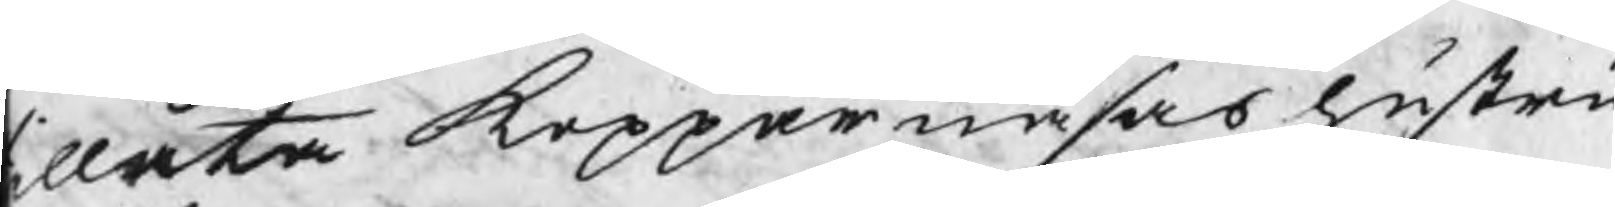illåta Kopparnäsas hustru
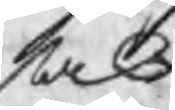sak
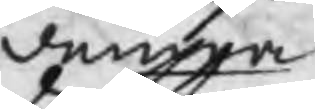denna
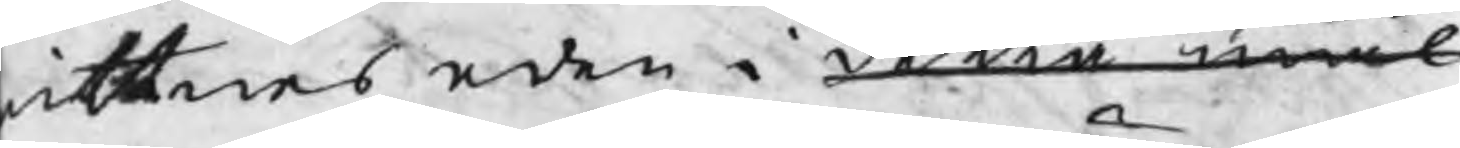ittnes eden i detta mål
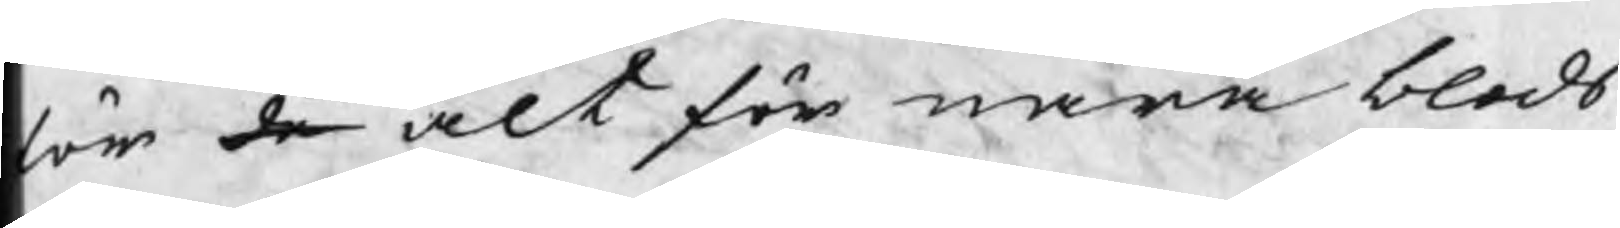för de alt för nära blods
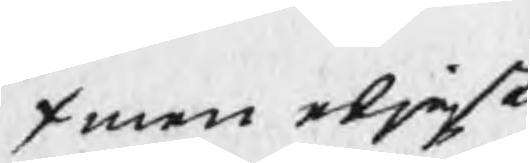/ men eljest
